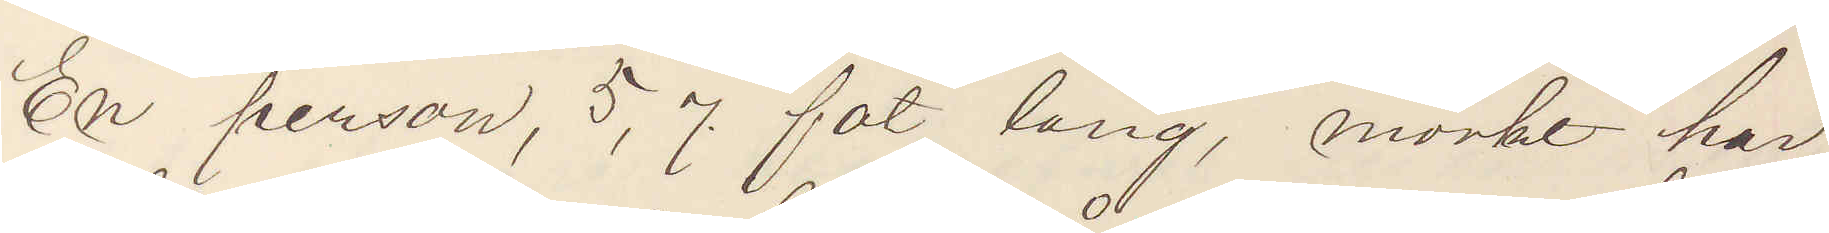En person, 5,7 fot lång, mörkt hår,
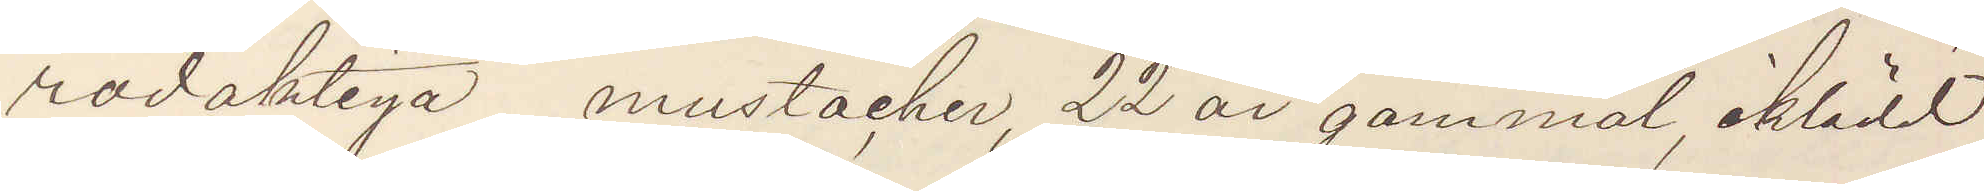rödaktiga mustacher, 22 år gammal, iklädd
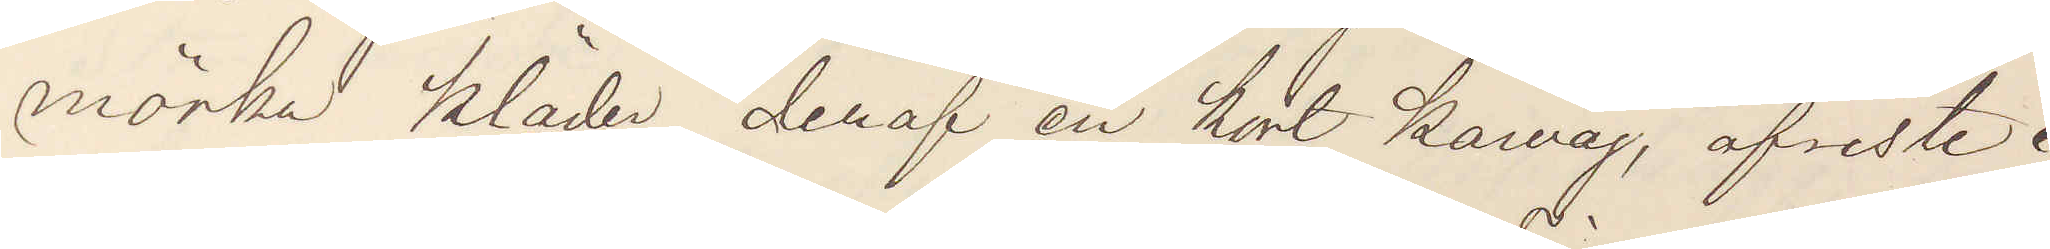mörka kläder, deraf en kort kavaj, afreste i
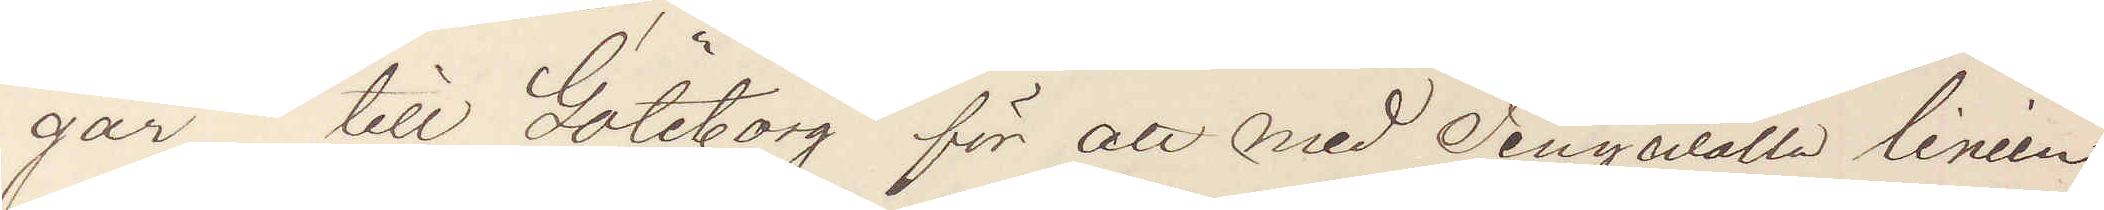går till Göteborg för att med Tingsvalla linien
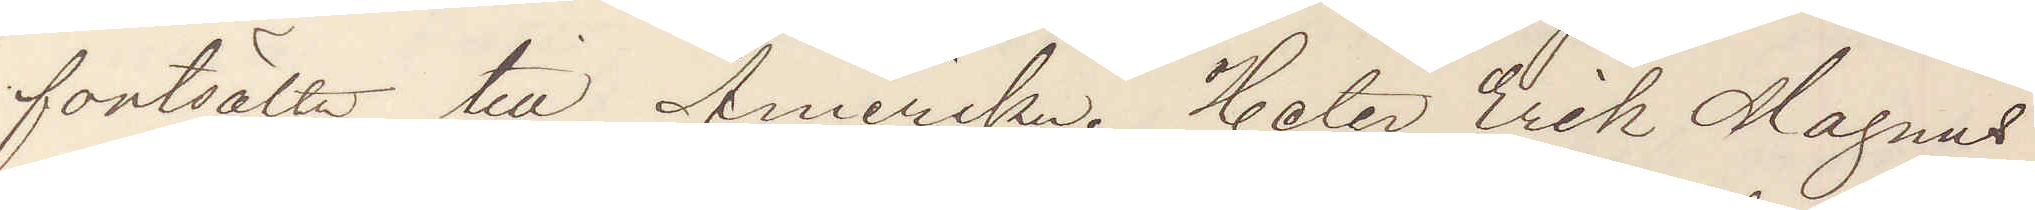fortsätta till Amerika. Heter Erik Magnus
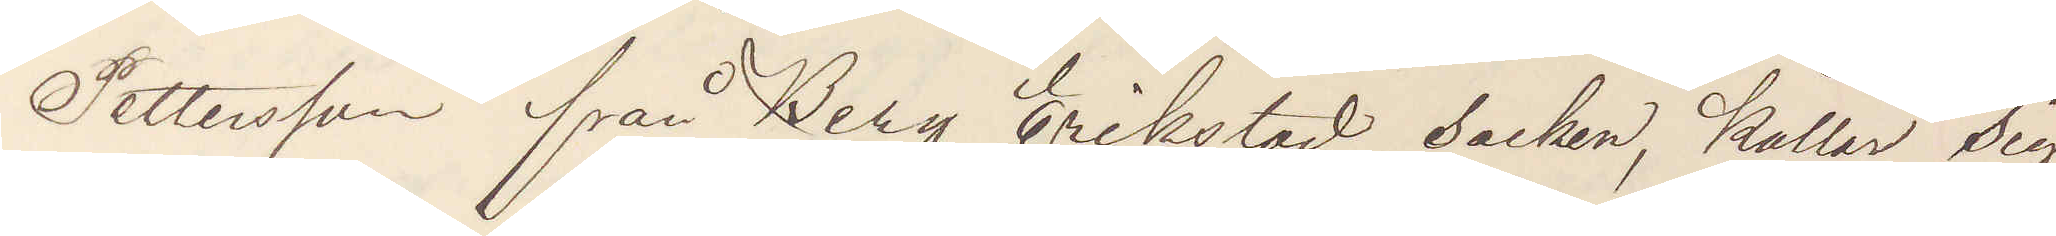Pettersson från Berg Erikstad socken, kallar sig
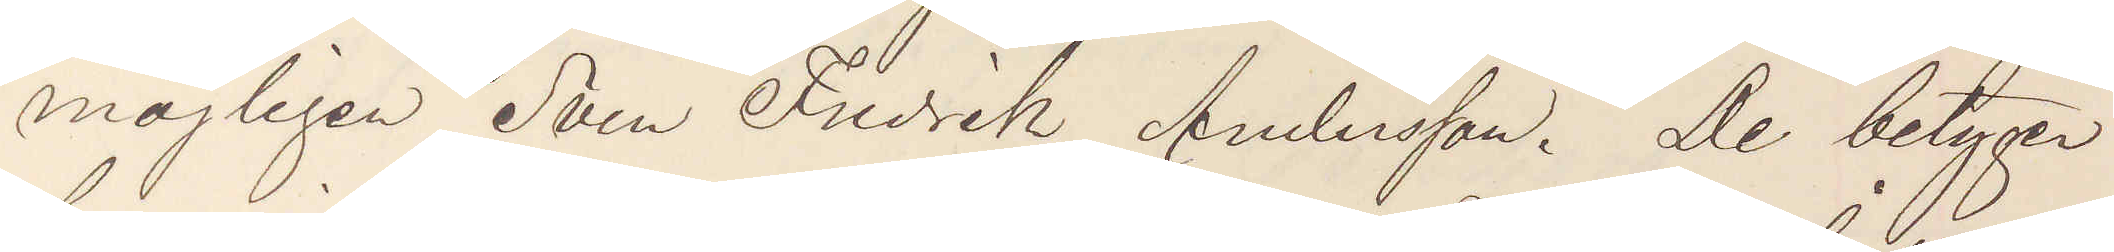möjligen Sven Fredrik Andersson. De betyger
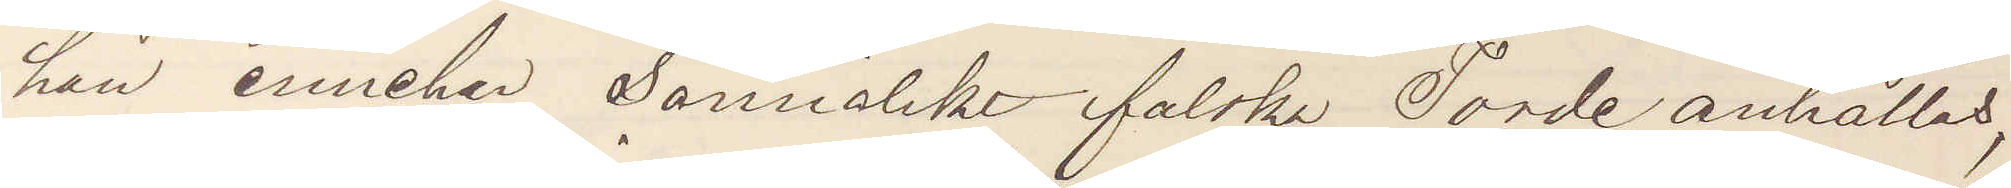han innehar sannolikt falska. Torde anhållas,
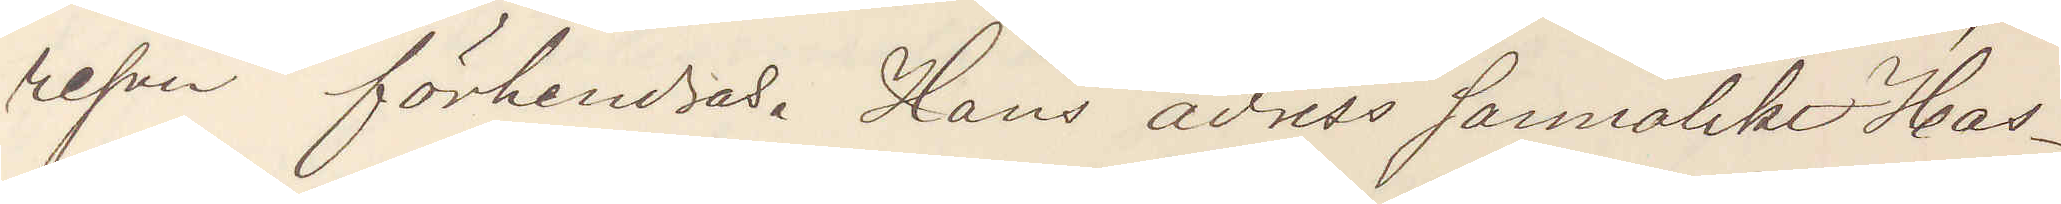resan förhindras. Hans adress sannolikt Has¬
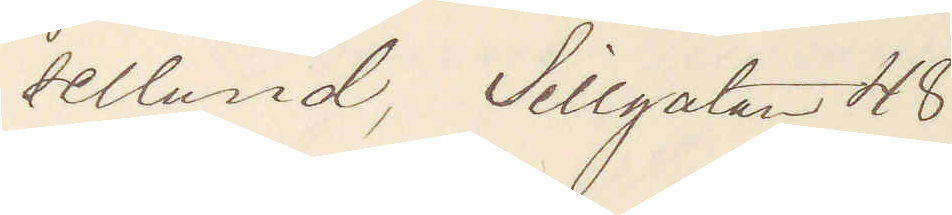sellund, Sillgatan 48.
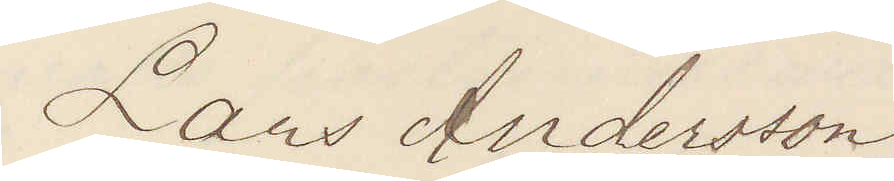Lars Andersson
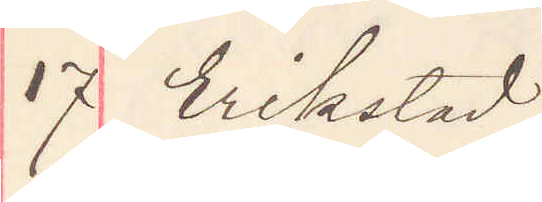17 Erikstad
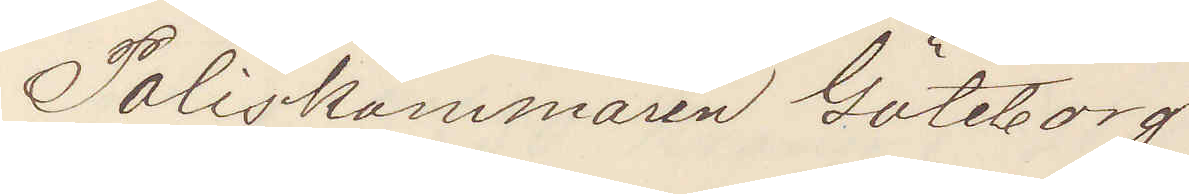Poliskammaren Göteborg.
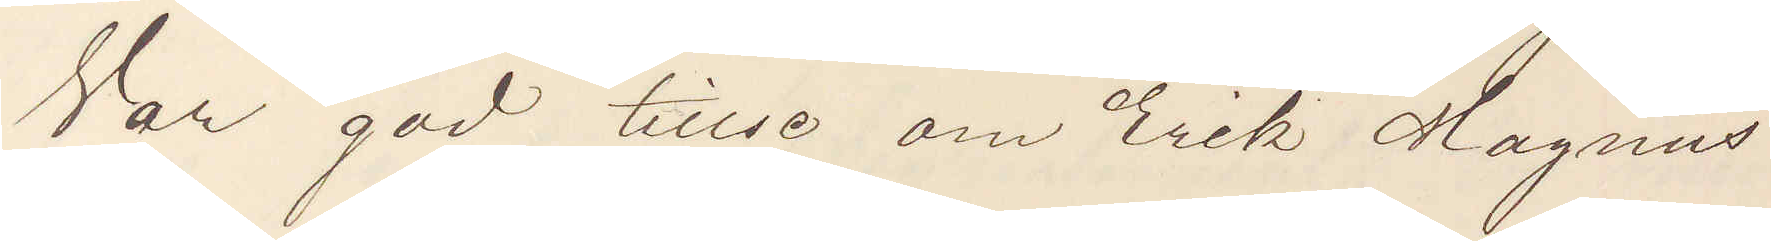Var god tillse om Erik Magnus
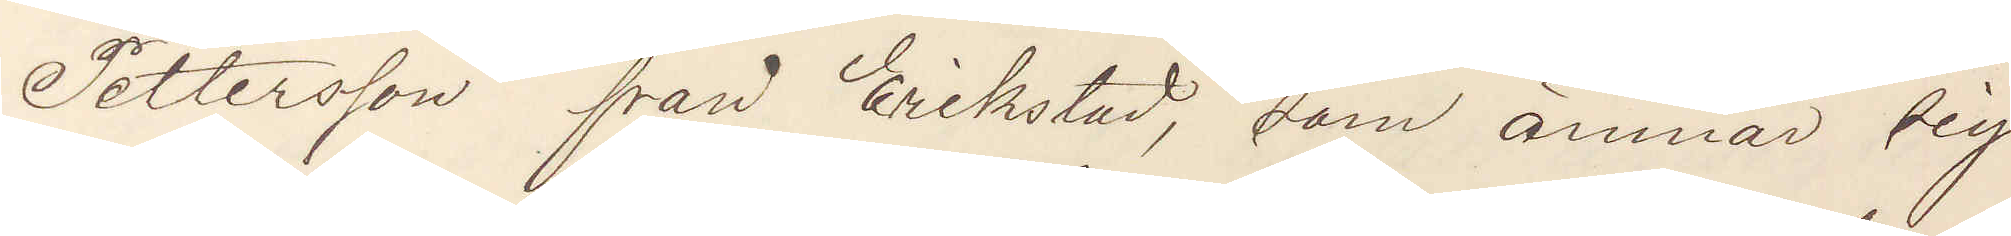Pettersson från Erikstad, som ämnar sig
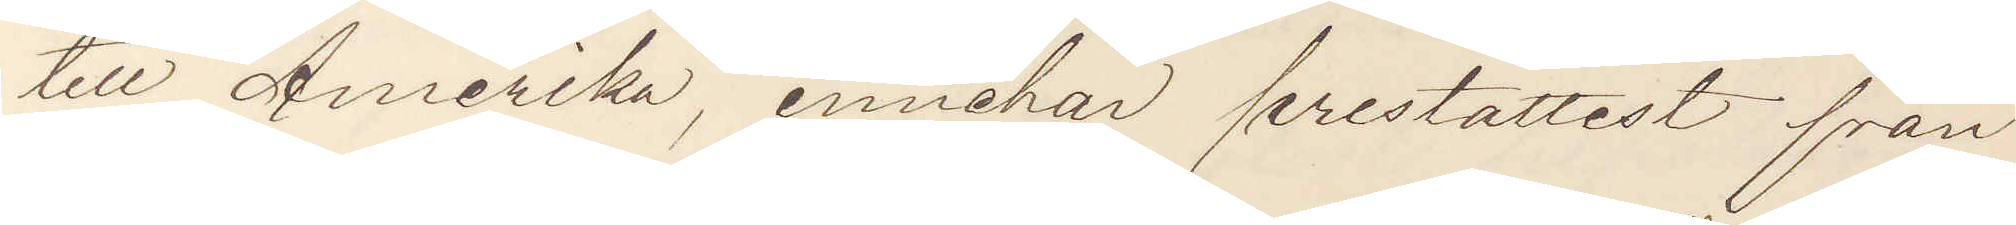till Amerika, innehar prestattest från
